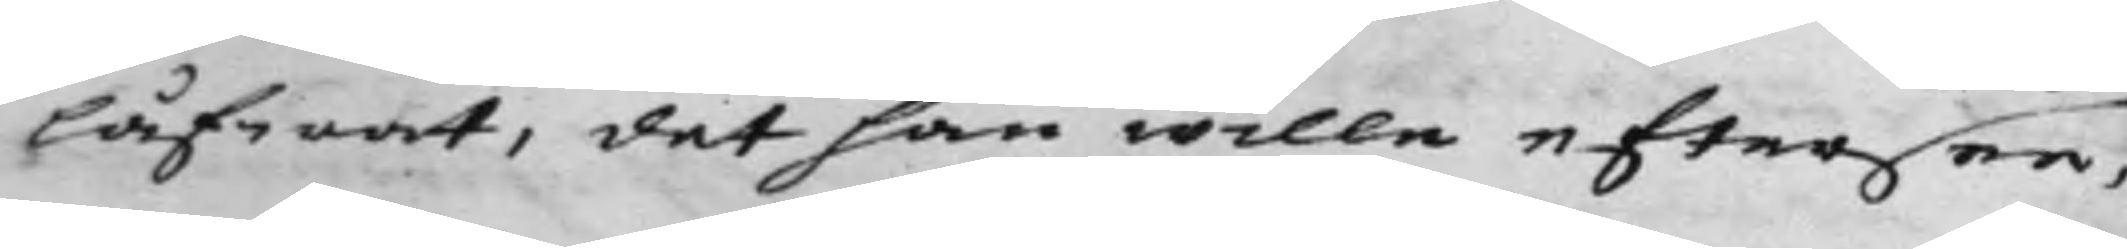låfwat, det han wille eftersee,
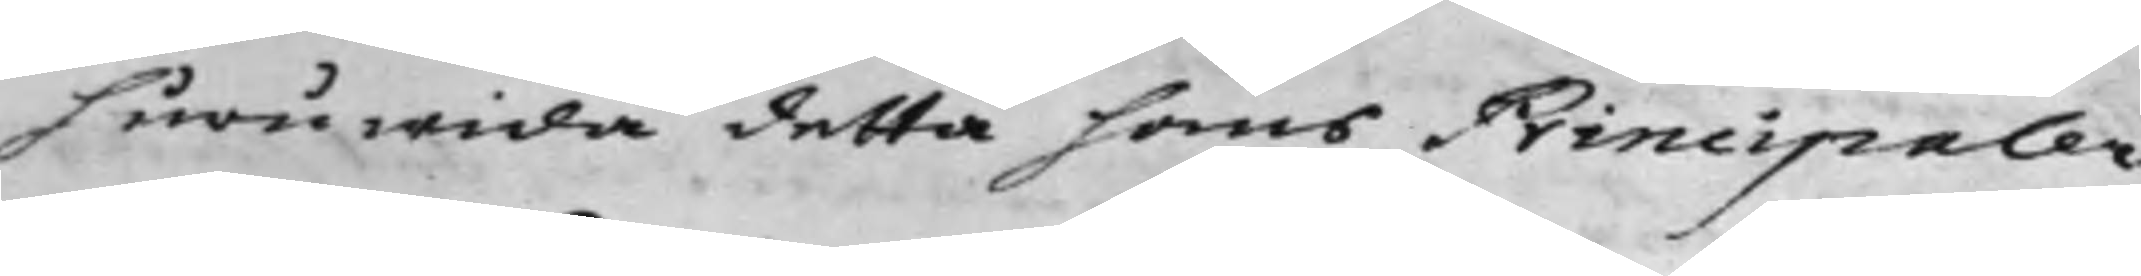huruwida detta hans Principaler
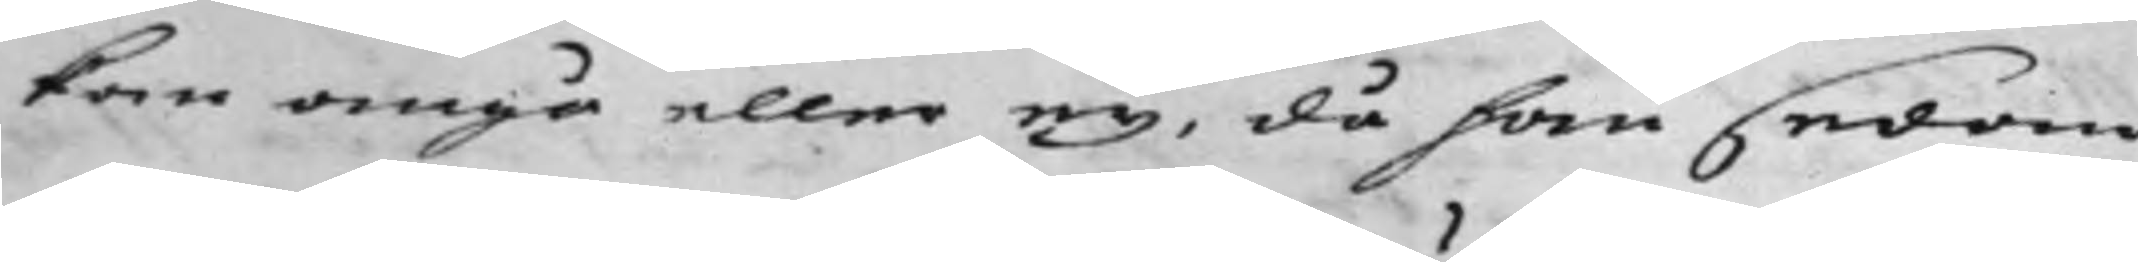kan angå eller ey, då han sedan
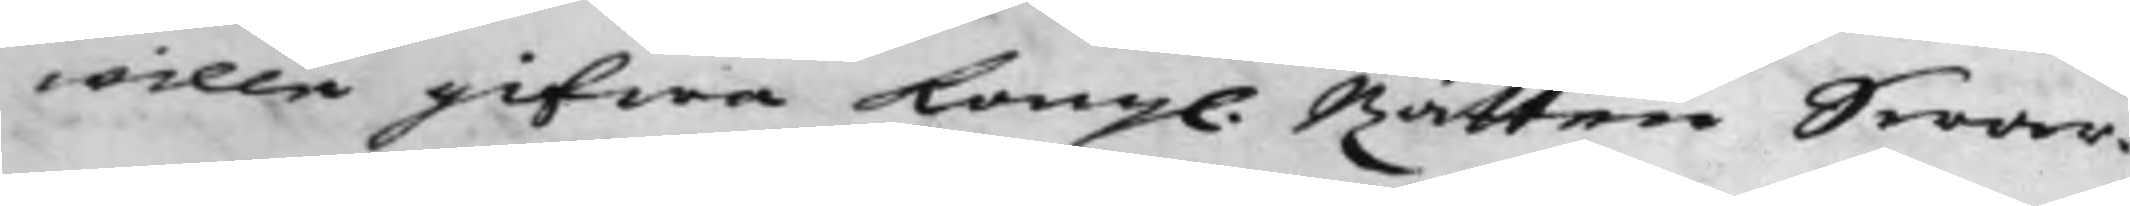wille gifwa Kong. Rätten Swar.
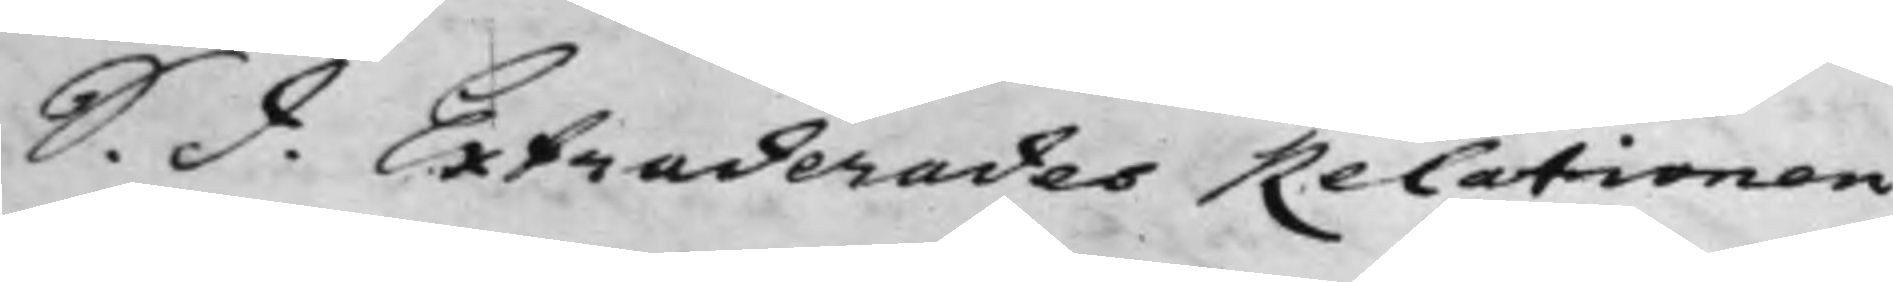S. d. Extraderades Relationen
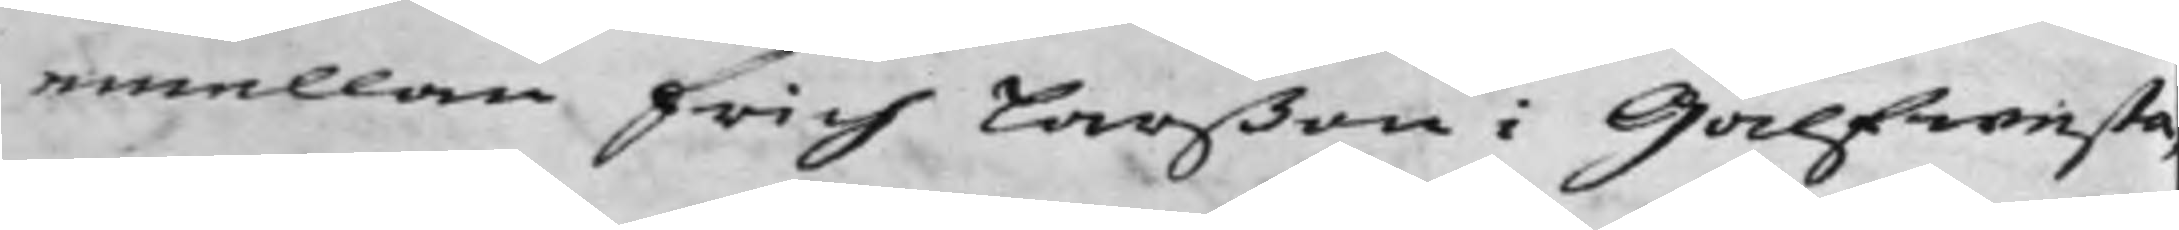emellan Erich Larßon i Gålfwensta,
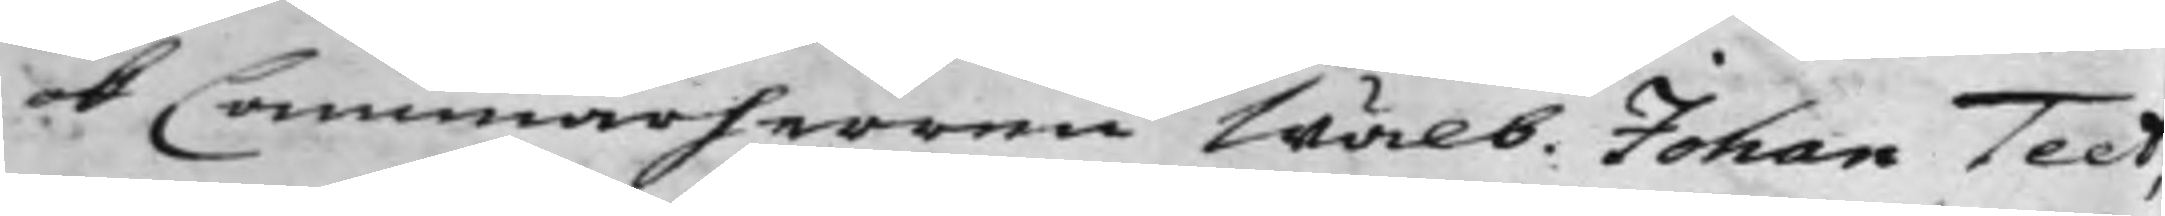ok Cammarherren Wälb. Johan Teet,
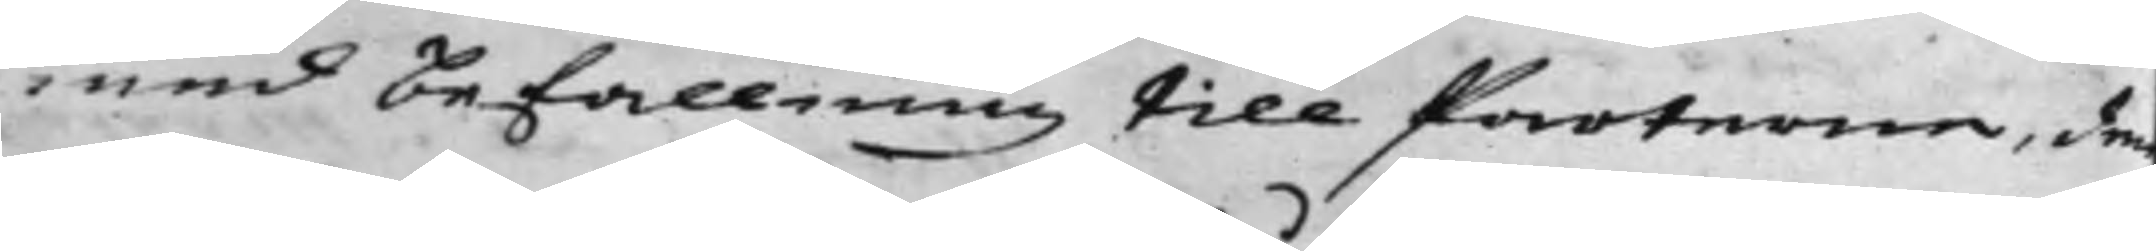med Befallning till Parterne, den
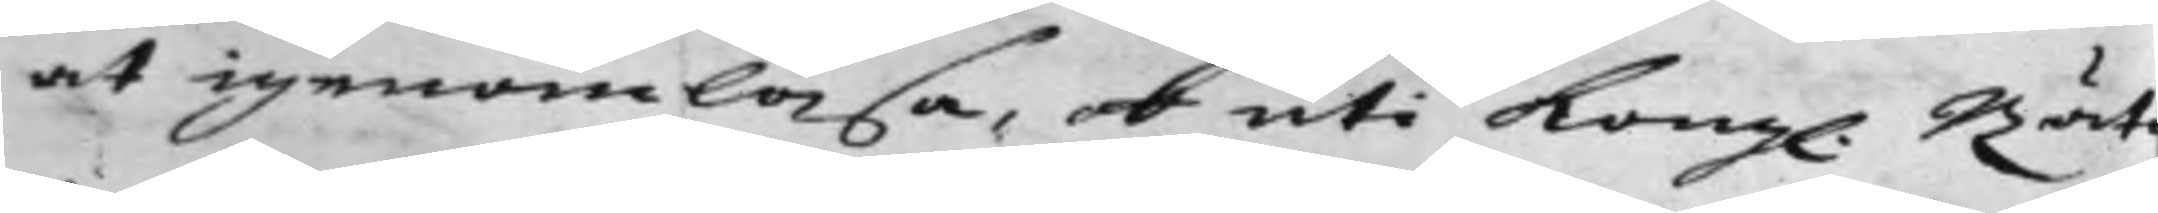at igenomläsa, och uti Kong. Rät¬
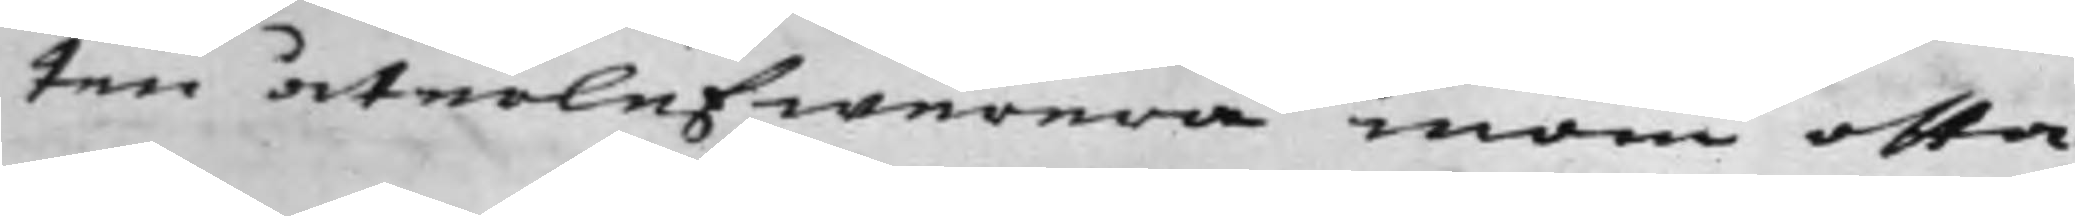ten återlefwerera inom otta
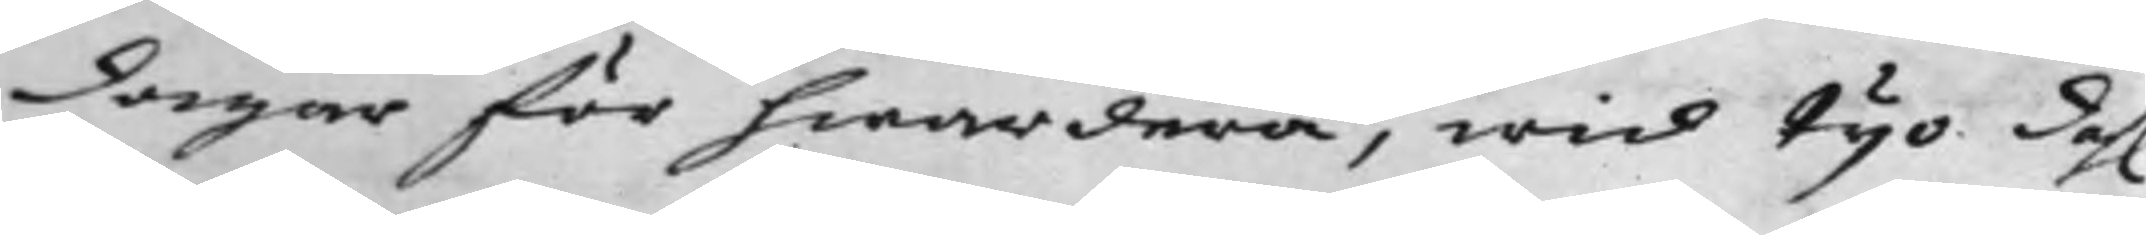dagar för hwardera, wid tijo dahl
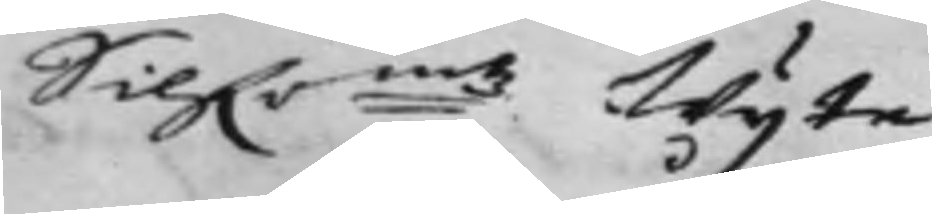Silf.r:mtz Wijte
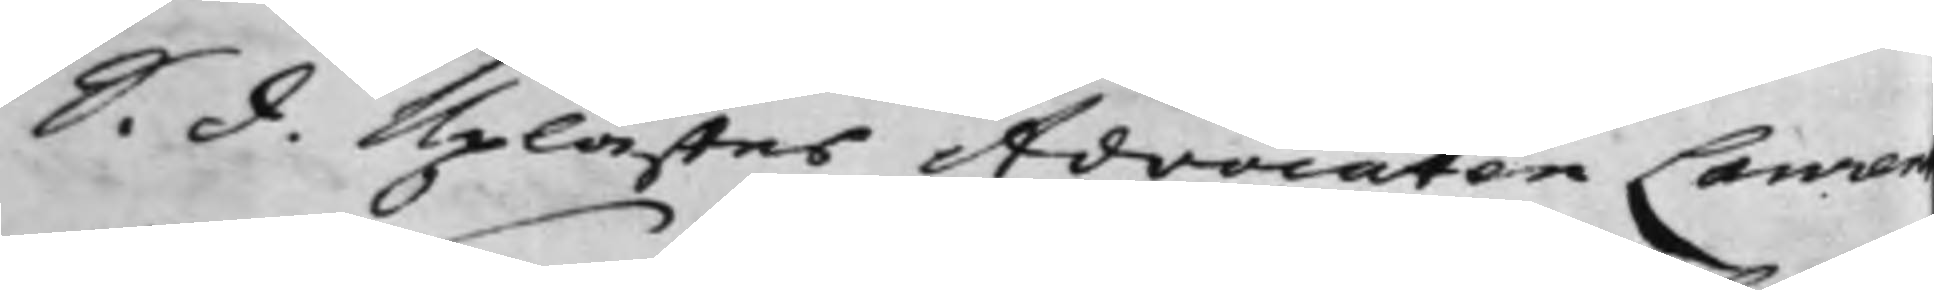S. d. Uplästes Advocaten Lauren
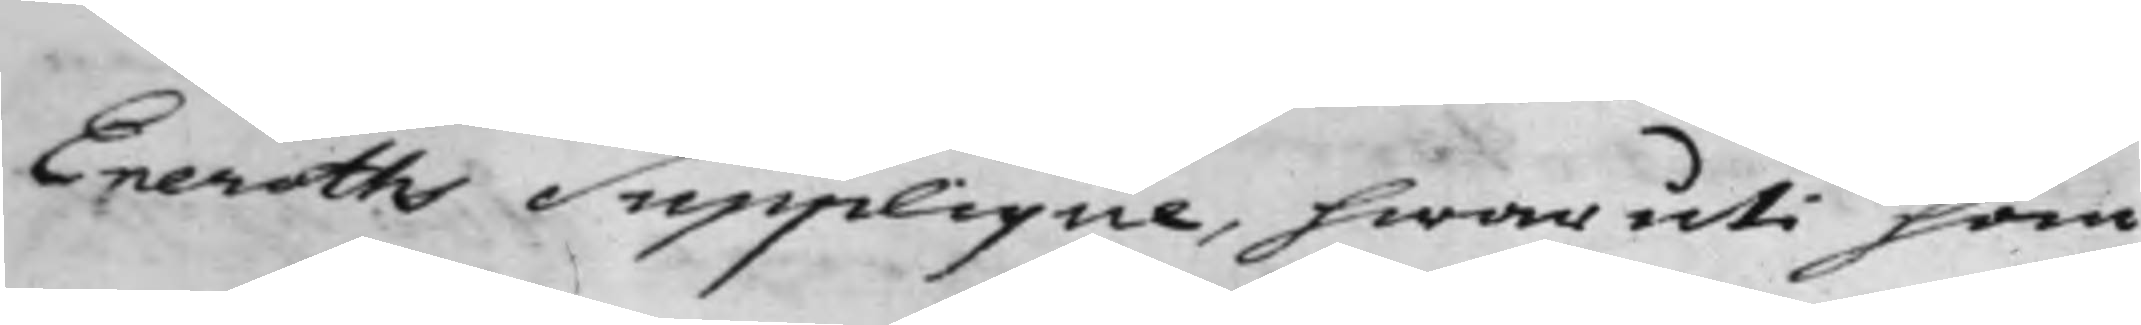Eneroths Supplique, hwaruti han
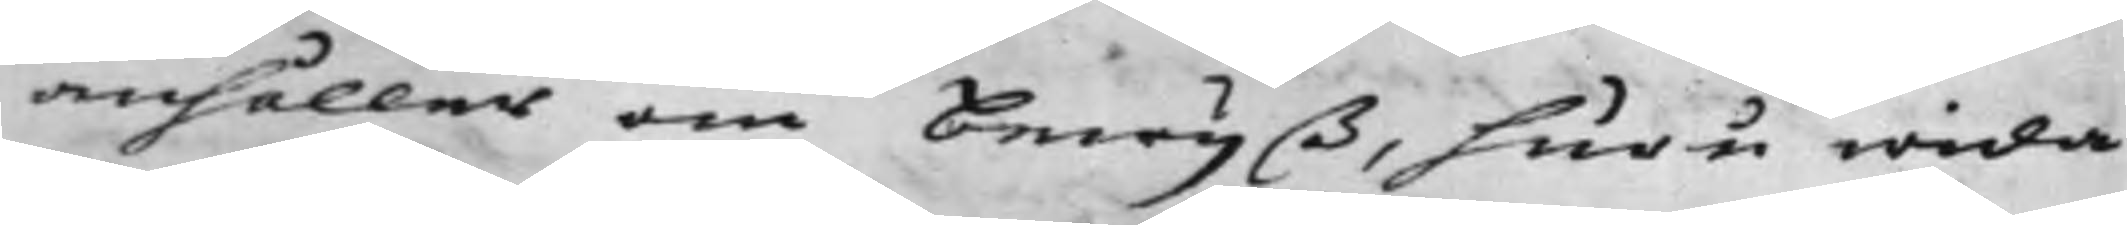anhåller om Bewijß, huru wida
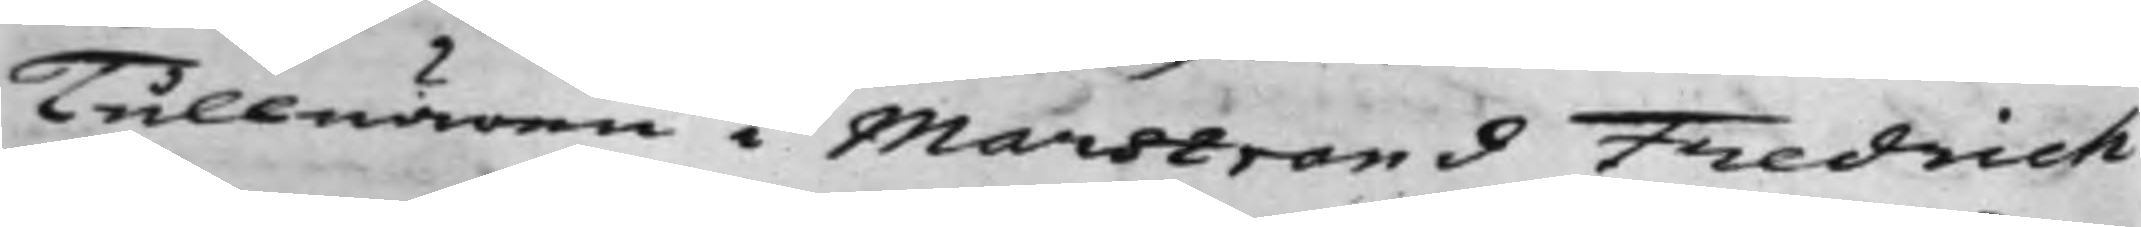Tullnären i Marstrand Fredrich
